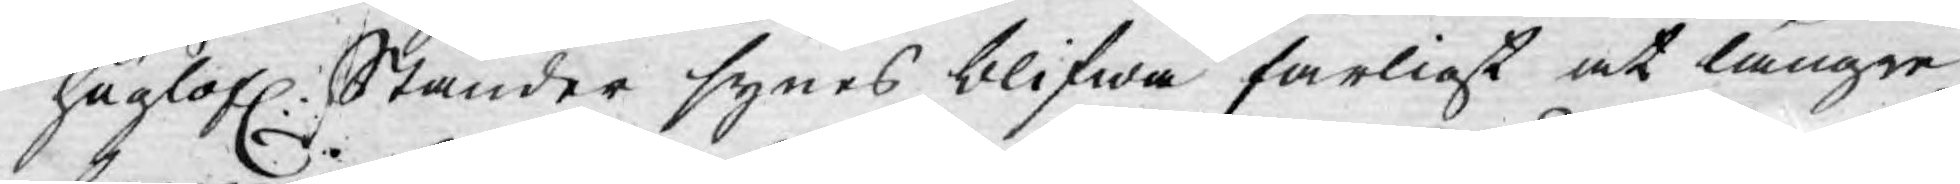höglofl. Ständer synes blifwa farligt at längre
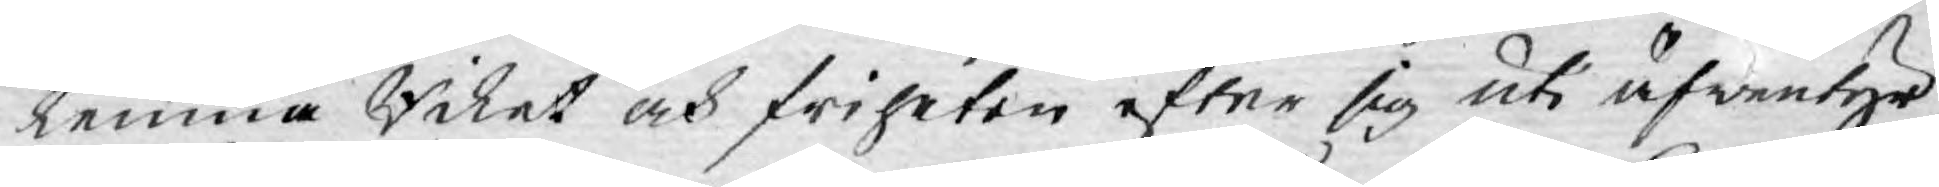lemna Riket och friheten efter sig uti äfwentyr
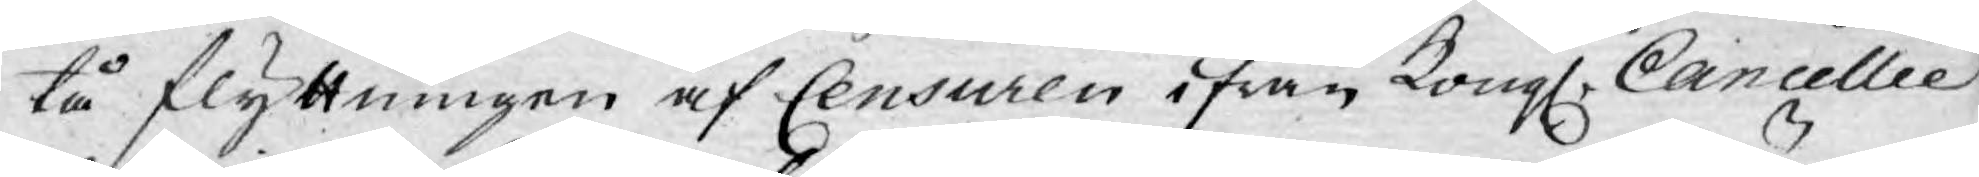tå flyttningen af Censuren ifrån Kongl. Cancellie
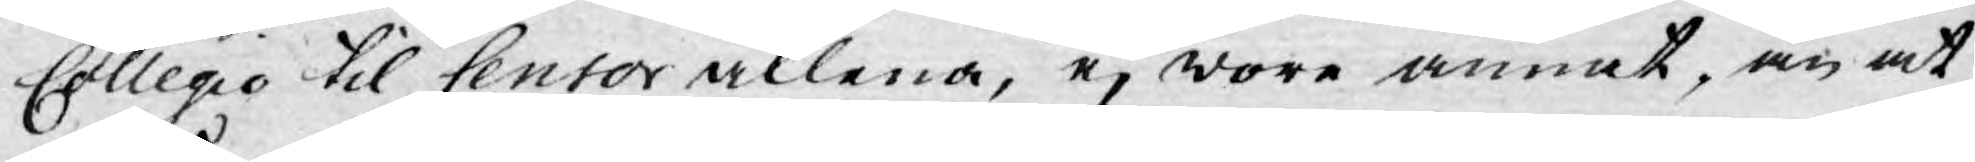Collegio til Censor allena, ej wore annat, än at
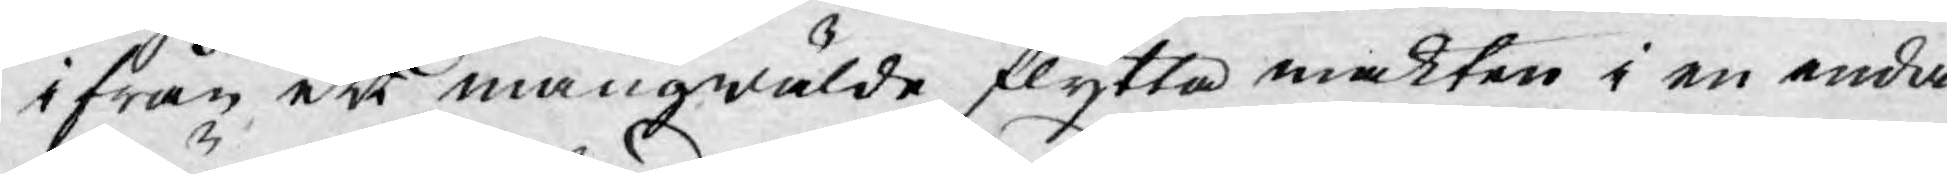ifrån ett mångwälde flytta makten i en enda
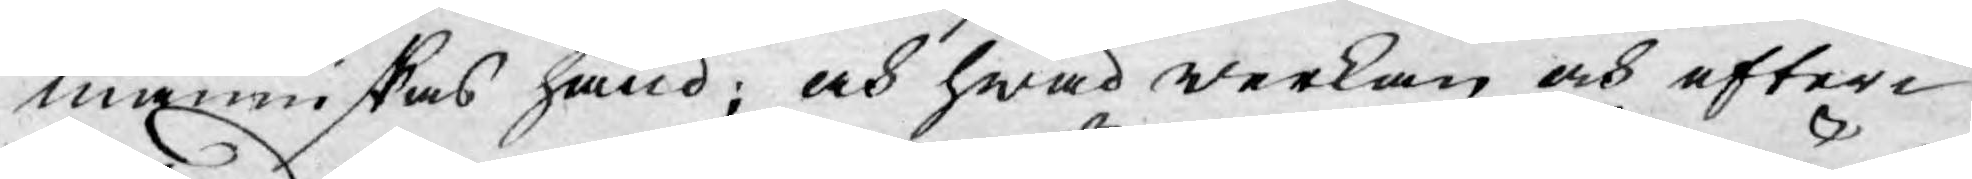människas hand; och hwad werkan och efter¬
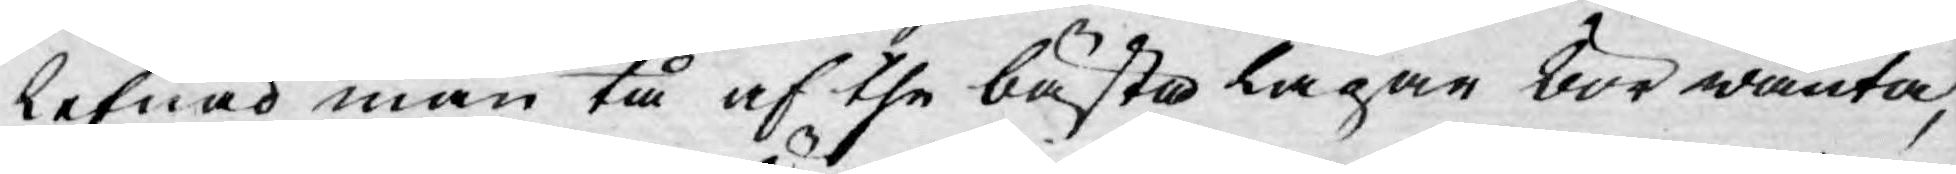lefnad man tå af the bästa lagar bör wänta,
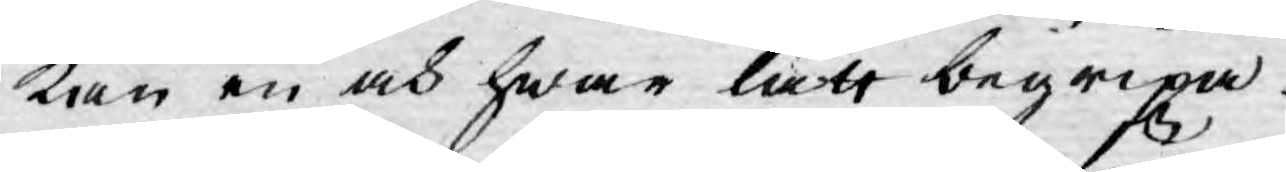kan en och hwar lätt begripa.
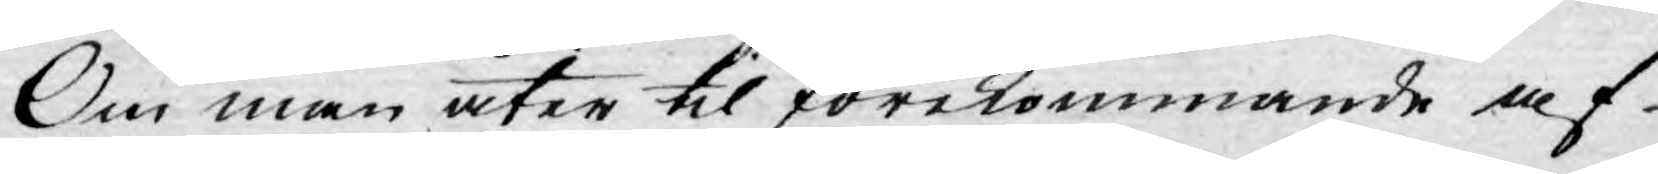Om man åter til förekommande af
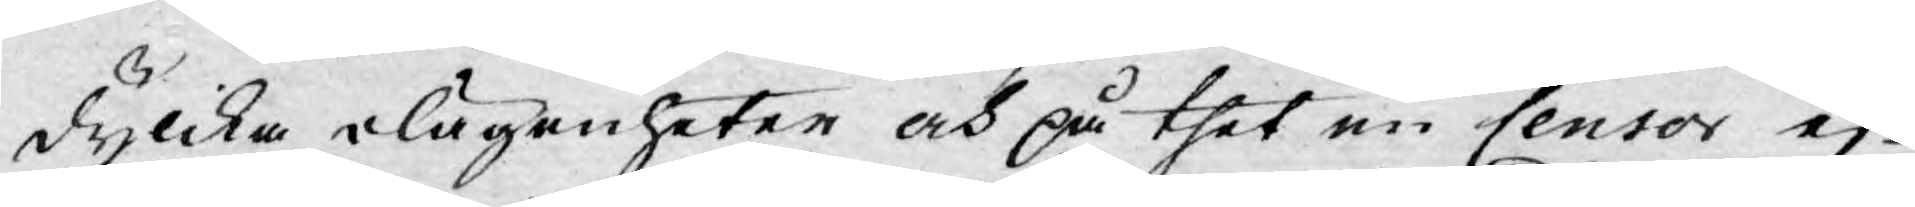dylika olägenheter och på thet en Censor ej
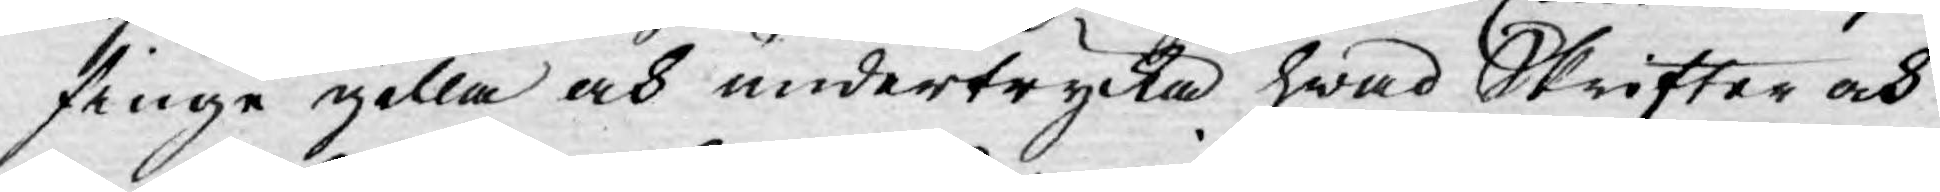finge gilla och undertrycka hwad Skrifter och
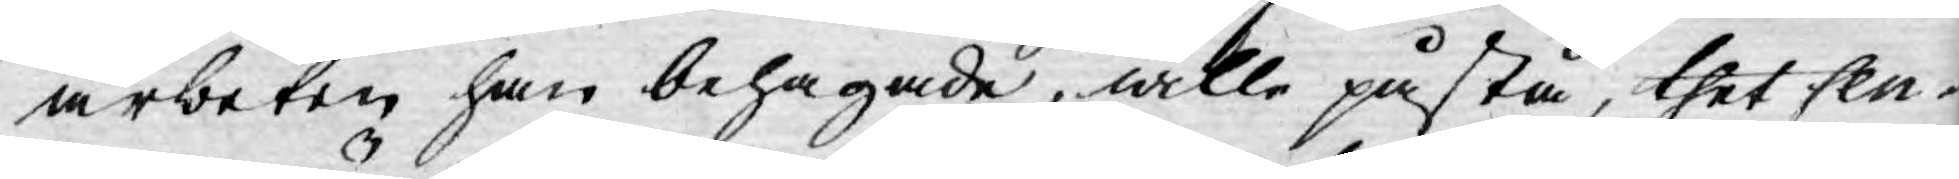arbeten han behagade, wille påstå, thet Cen¬
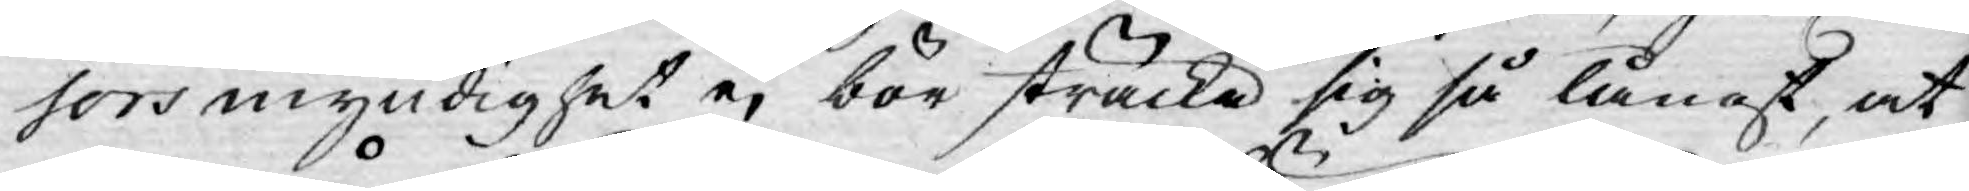sors myndighet ej bör sträcka sig så långt, at
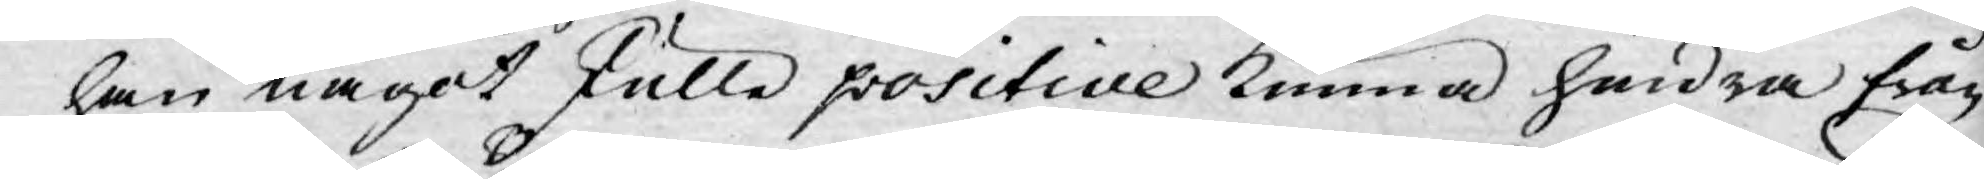han något skulle positive kunna hindra från
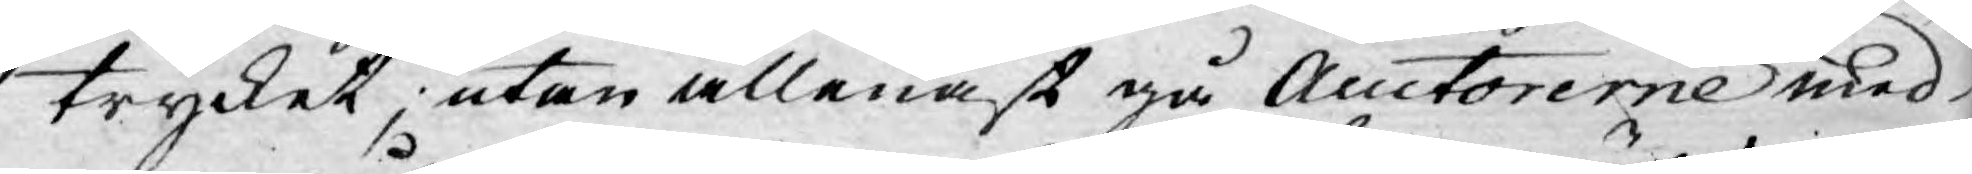trycket; utan allenast gå Auctorerne med
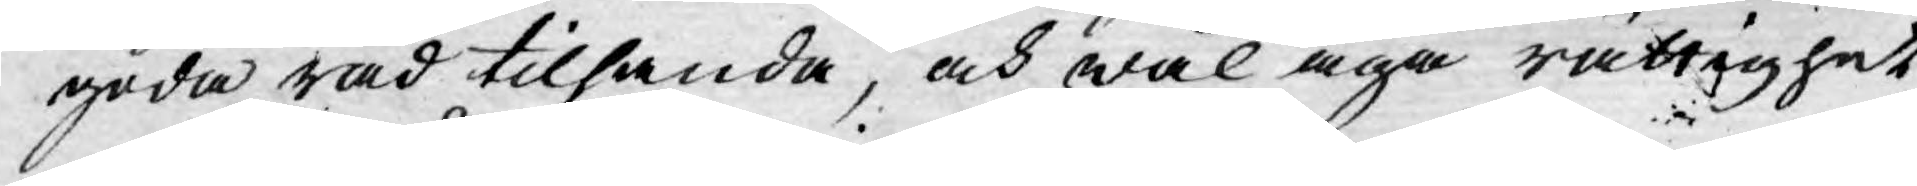goda råd tilhanda, och wäl äga rättighet
